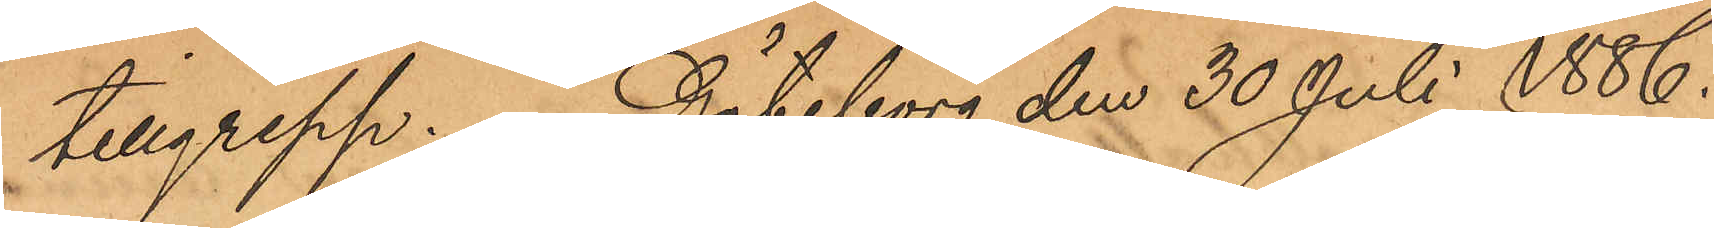tillgrepp. Göteborg den 30 Juli 1886.
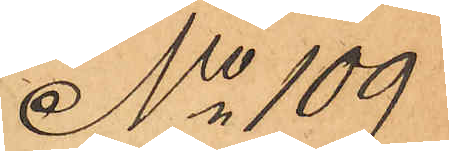No 109
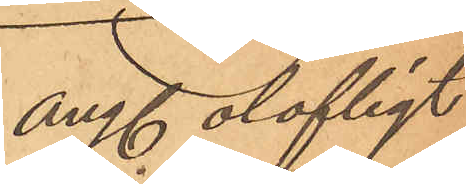ang. olofligt
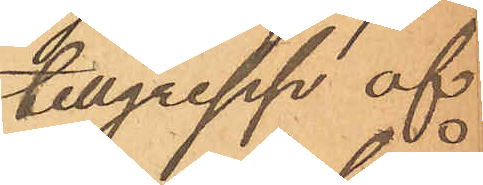tillgrepp af
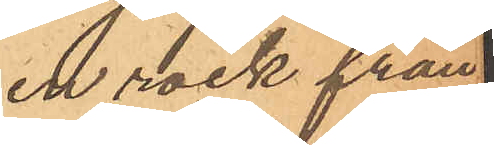en rock från
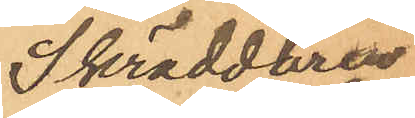Skräddaren
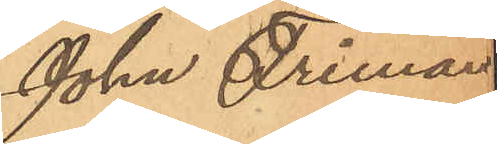John Friman
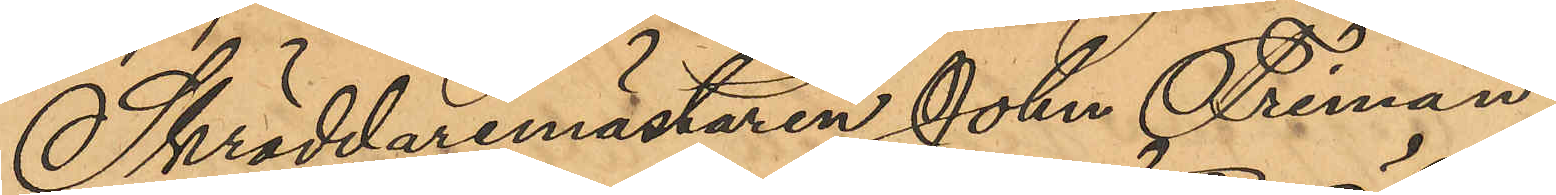Skräddaremästaren John Friman,
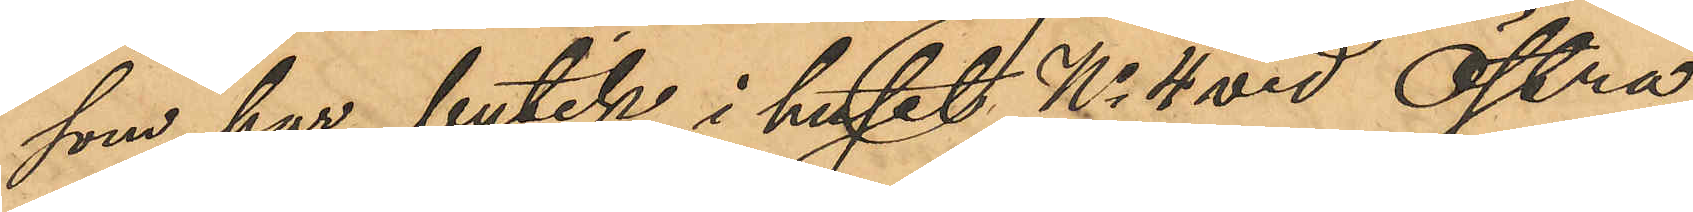som har butik i huset No 4 vid Östra
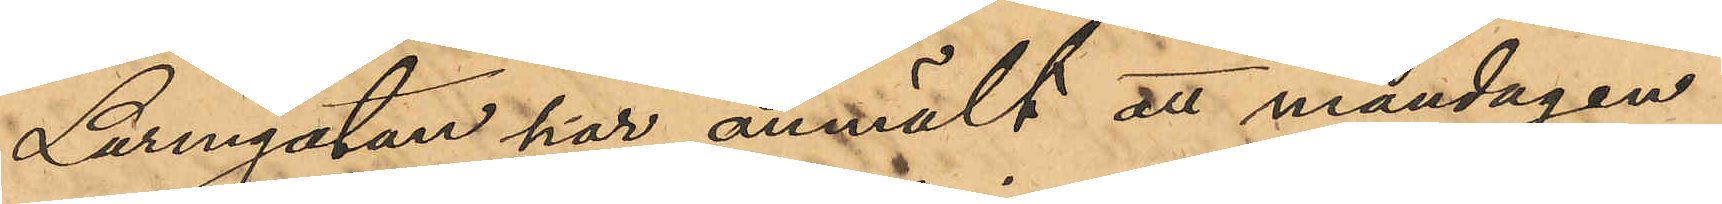Larmgatan har anmält att måndagen
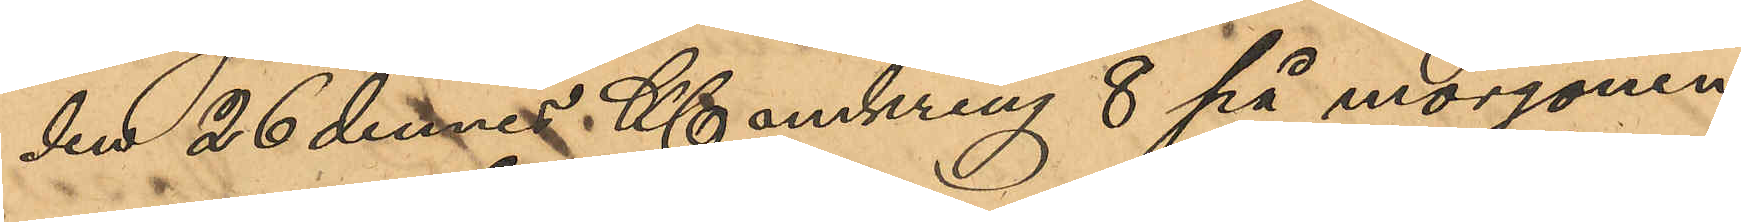den 26 dennes Kl omkring 8 på morgonen
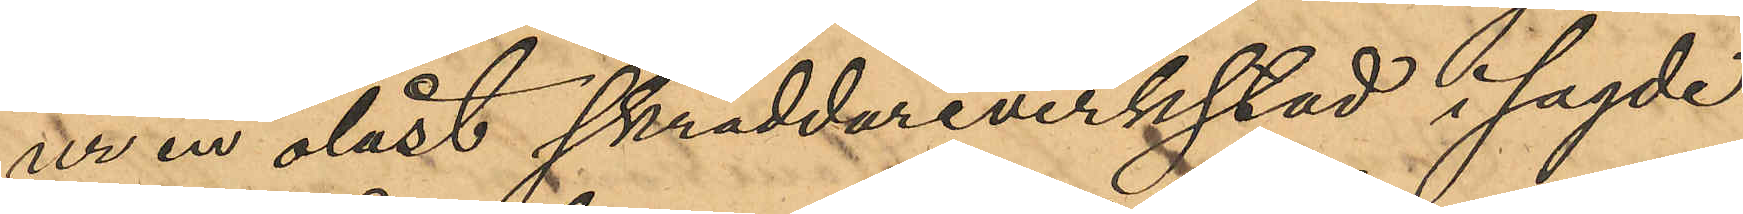ur en olåst skräddareverkstad i sagde
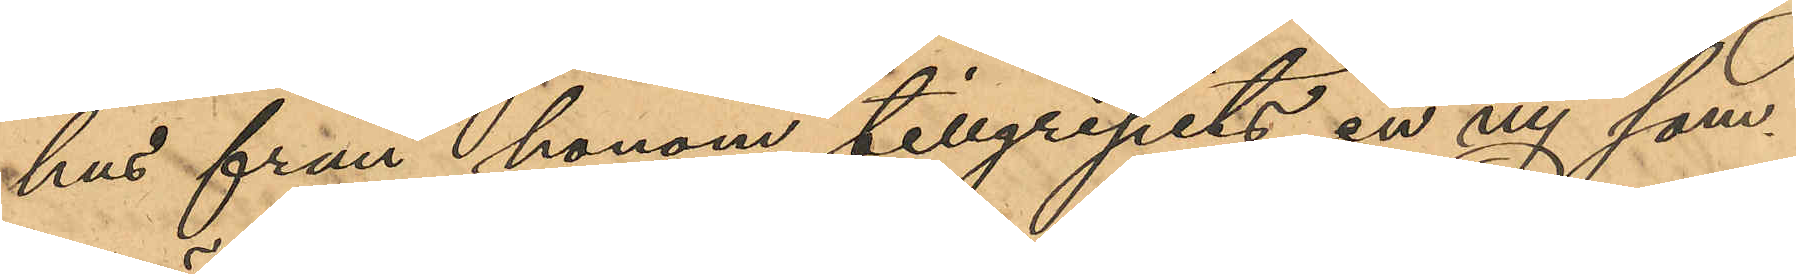hus från honom tillgripits en ny som¬
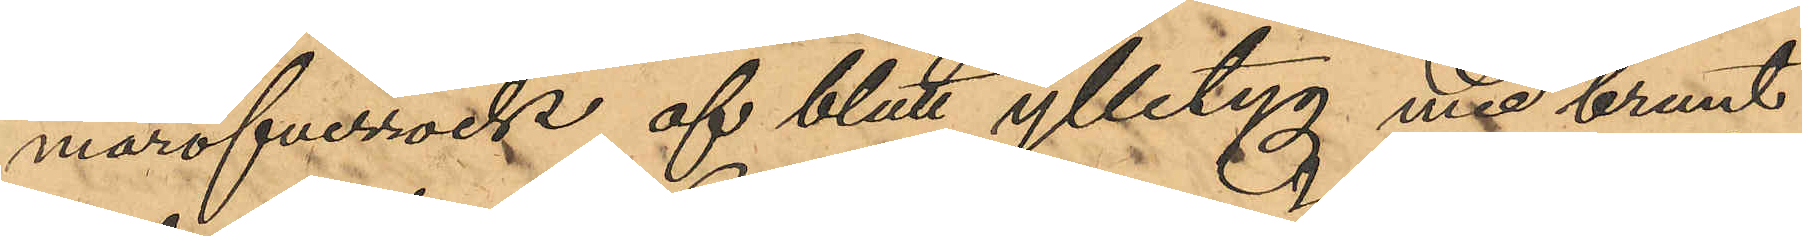maröfverrock af blått ylletyg med brunt
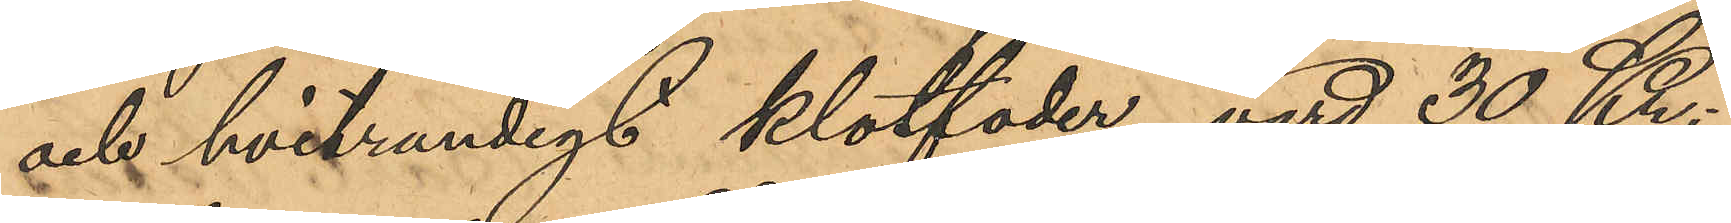och hvitrandigt klotfoder, värd 30 Kr;
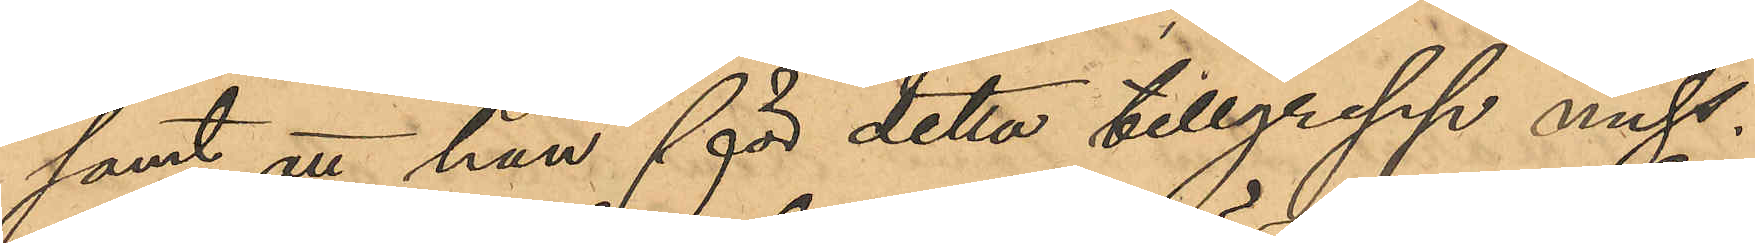samt att han för detta tillgrepp miss¬
